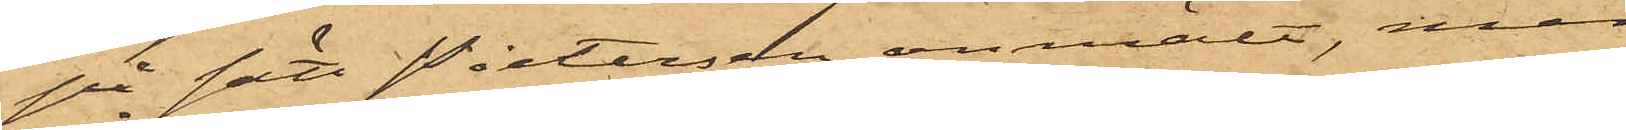på sätt Pietersen anmält, men
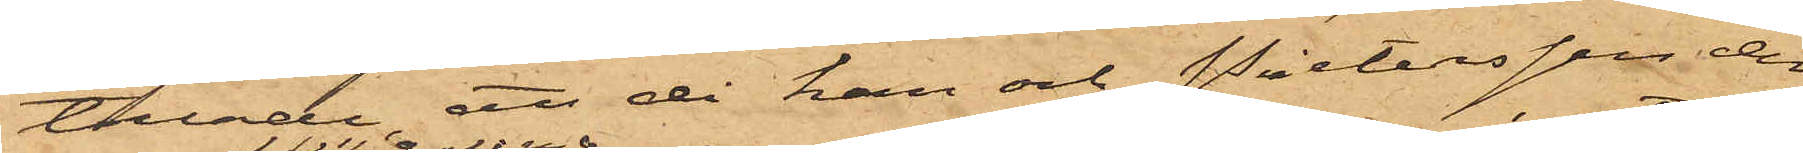tillade, att då han och Pietersen den
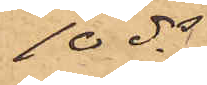10ds
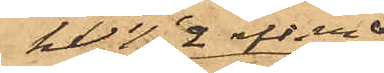kl. ½2 eft. m
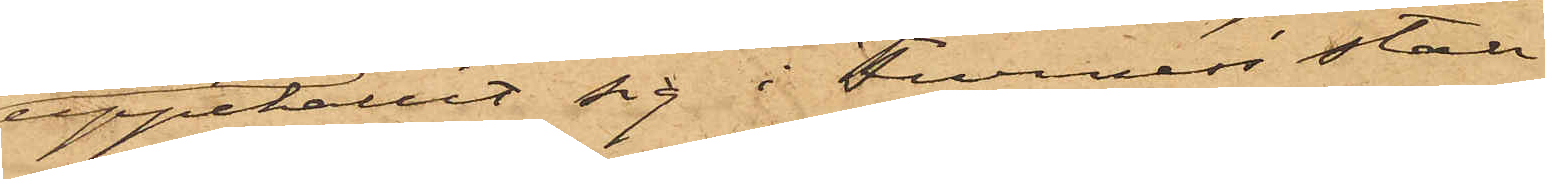uppehållit sig i Furness' stall
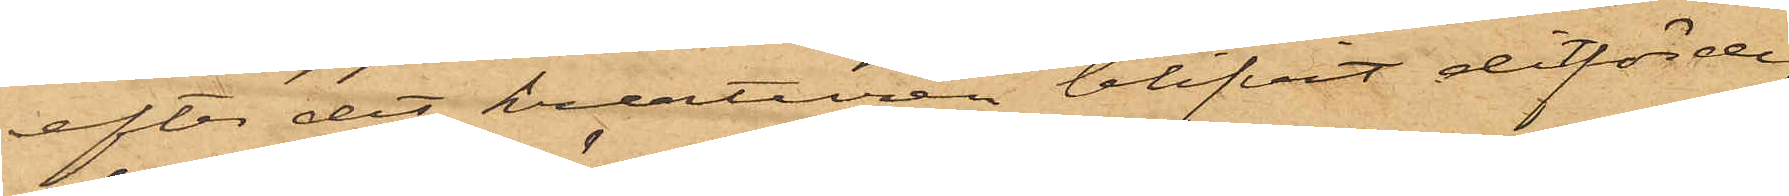efter det kreaturen blifvit ditförde,
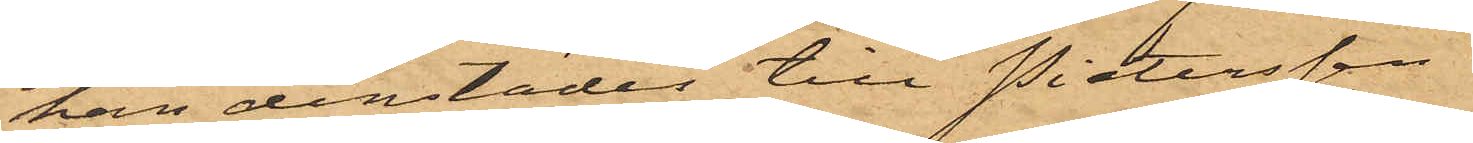han derstädes till Pietersen
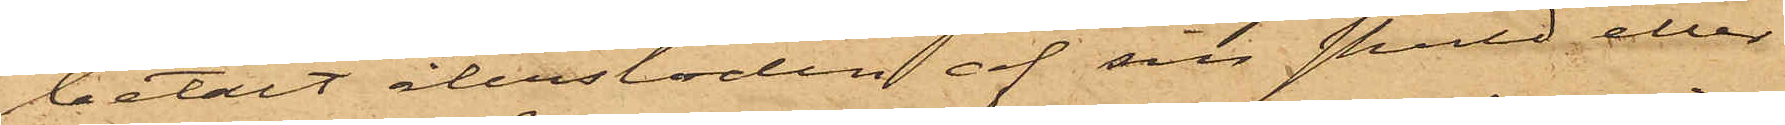betalt återstoden af sin skuld eller
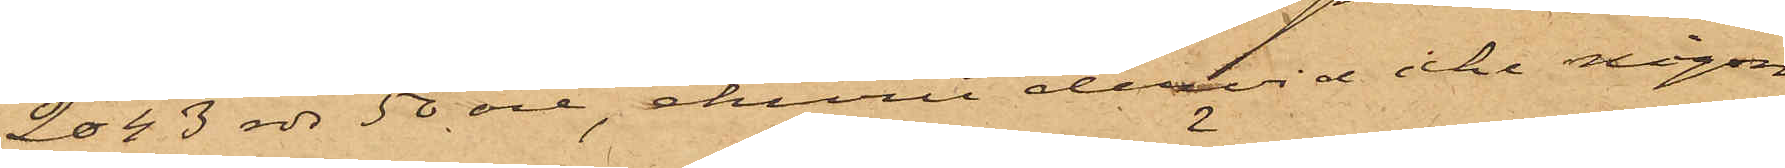2043 rdr 50 öre, ehuru dervid icke någon
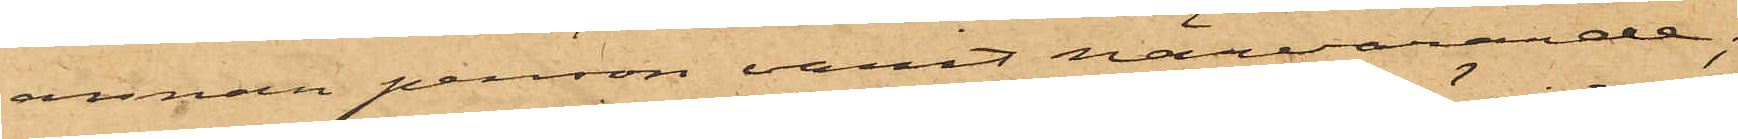annan person varit närvarande;
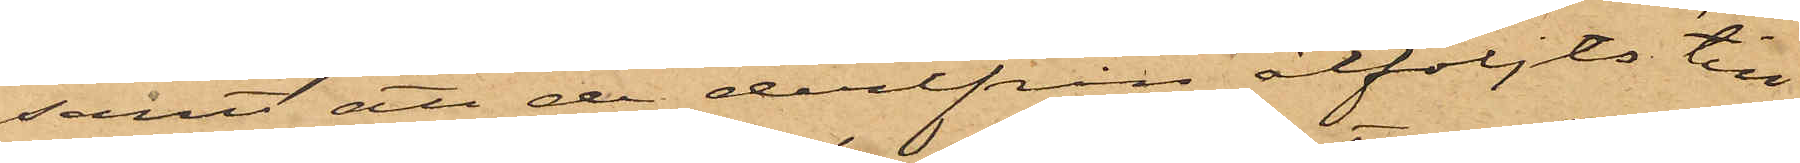samt att de derifrån åtföljts till
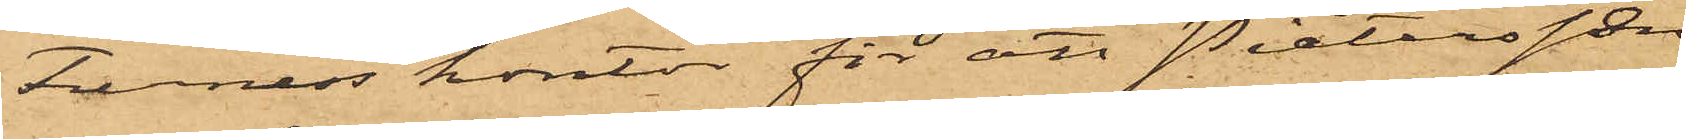Furness' kontor för att Pietersen
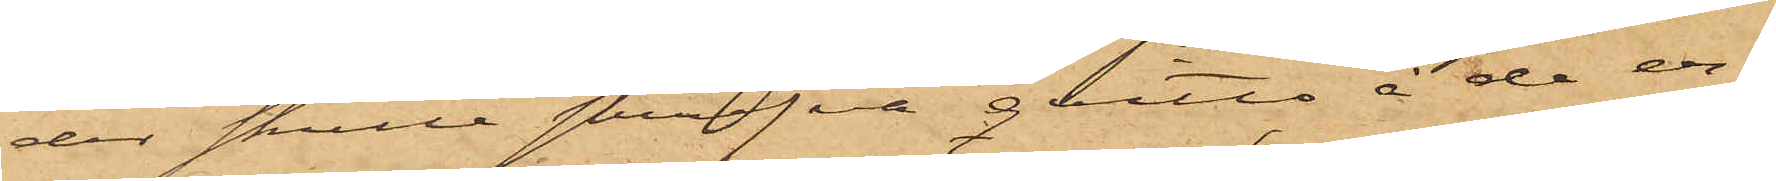der skulle skrifva qvitto å de er¬
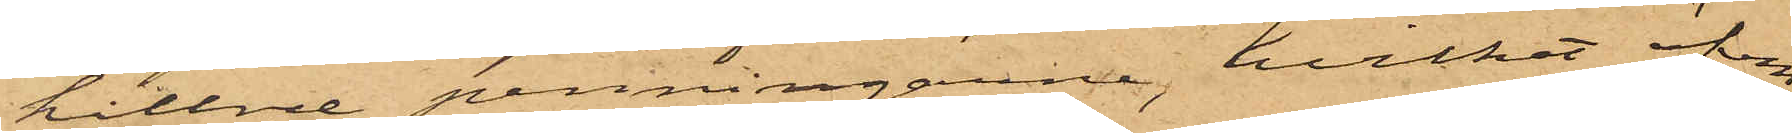hållne penningarne, hvilket äfven
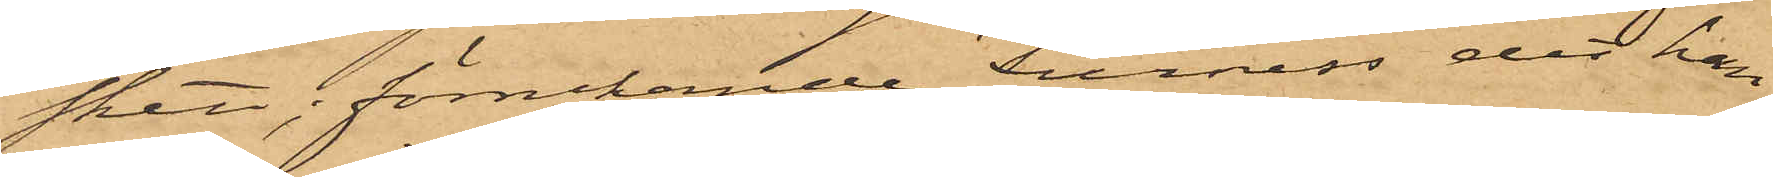skett; förnekande Furness det han
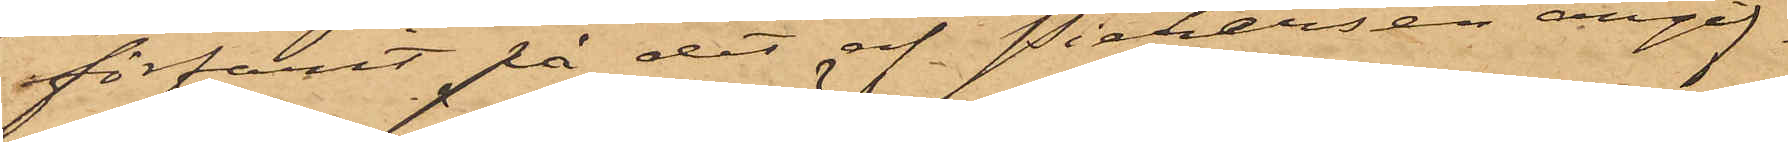förfarit på det af Pietersen angif¬
